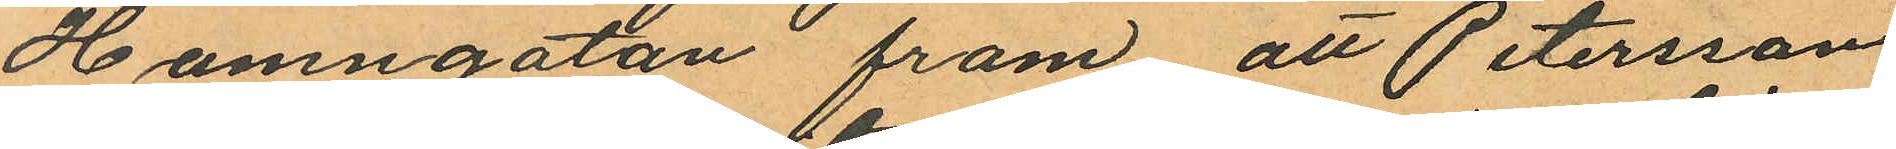Hamngatan fram att Petersson
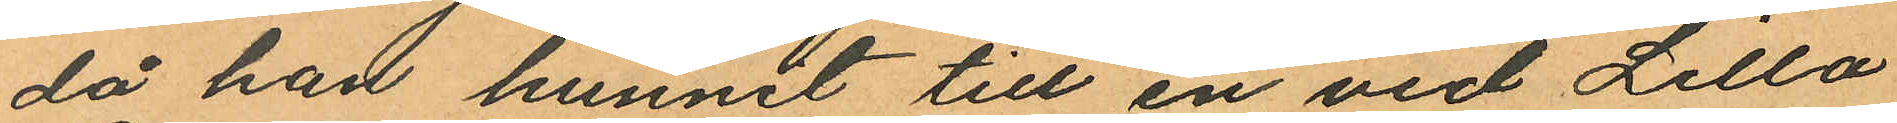då han hunnit till en vid Lilla
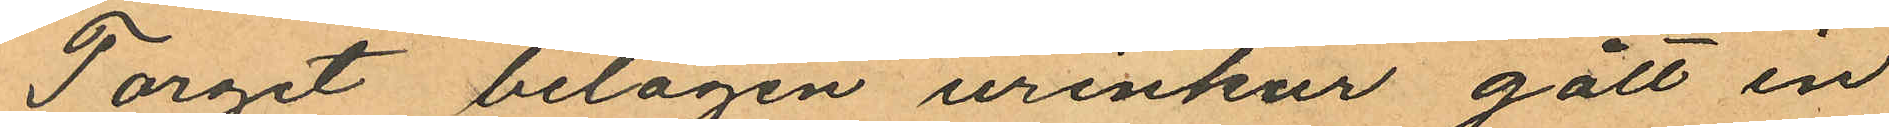Torget belägen urinkur gått in
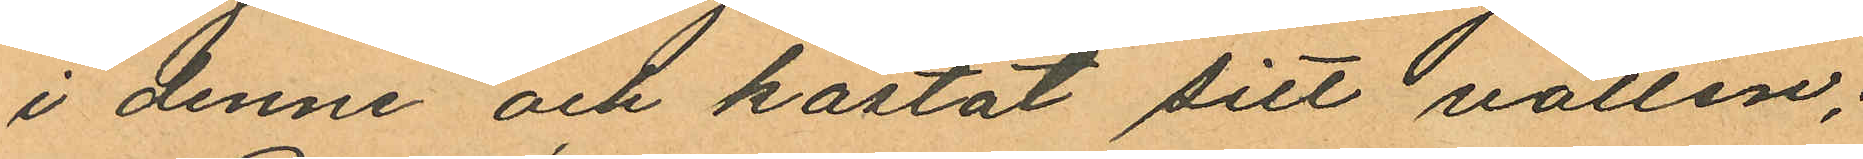i denne och kastat sitt vatten;
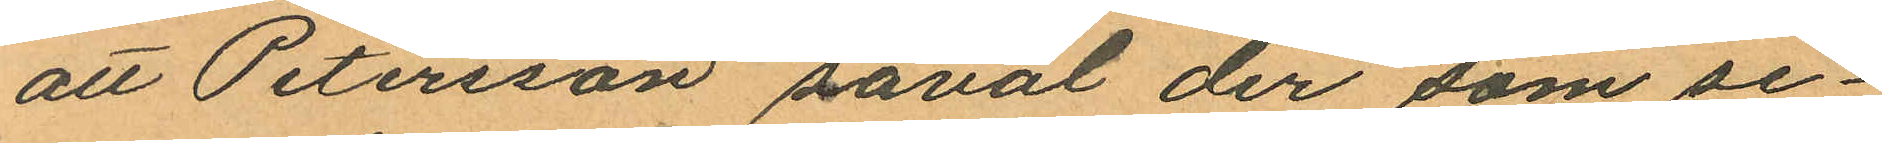att Petersson såväl der som se¬
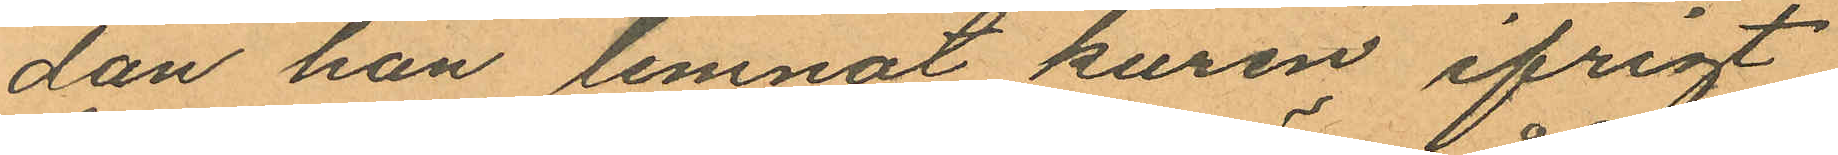dan han lemnat kuren ifrigt
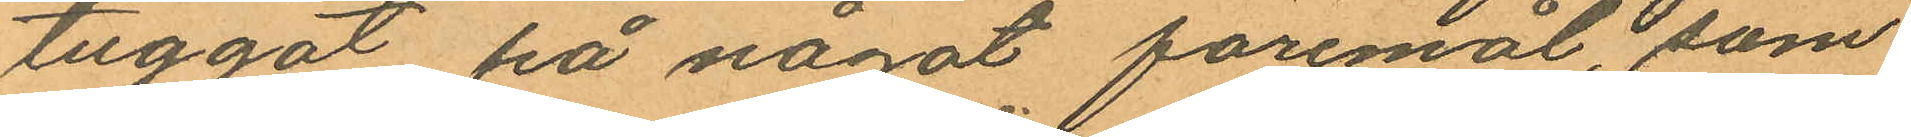tuggat på något föremål som
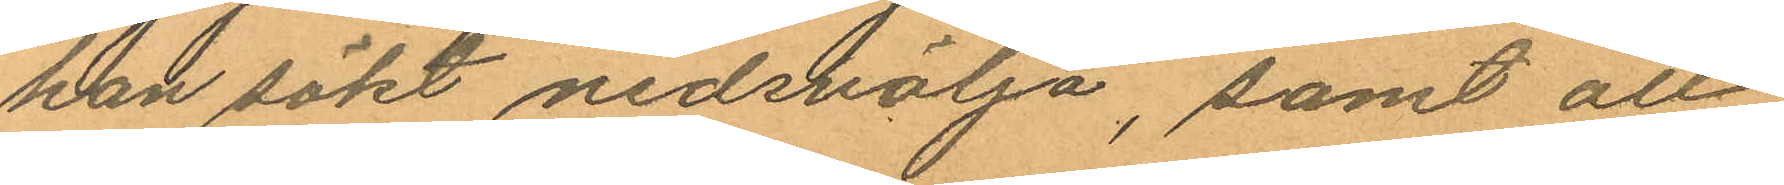han sökt nedskölja, samt att
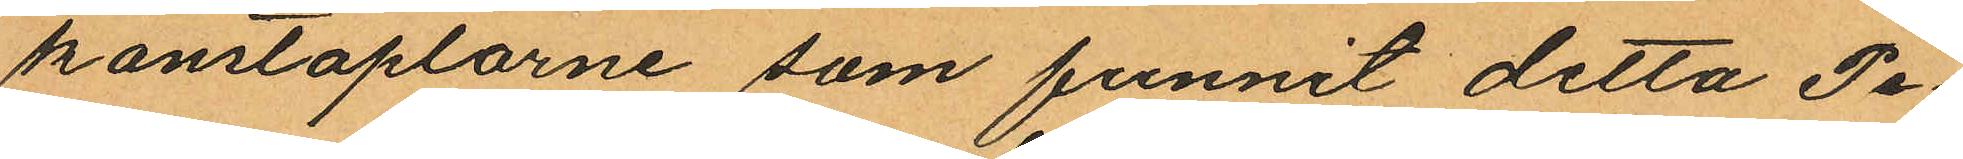konstaplarne som funnit detta Pe¬
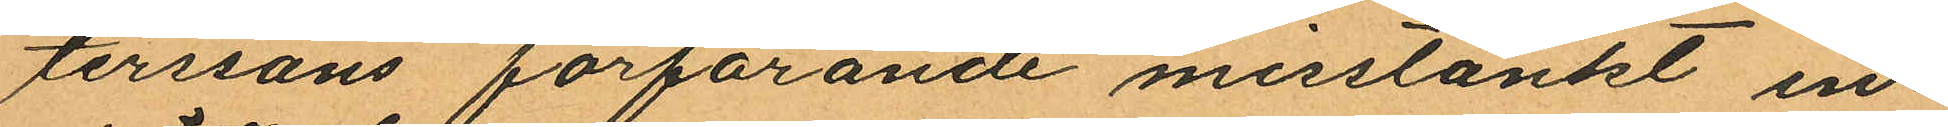terssons förfarande misstänkt in¬
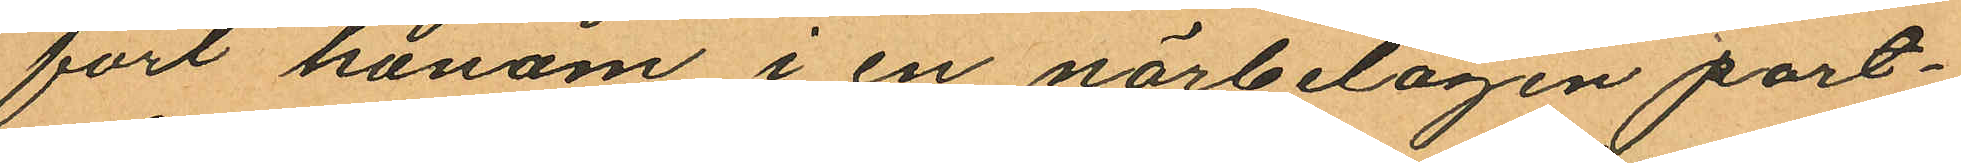fört honom i en närbelagen port¬
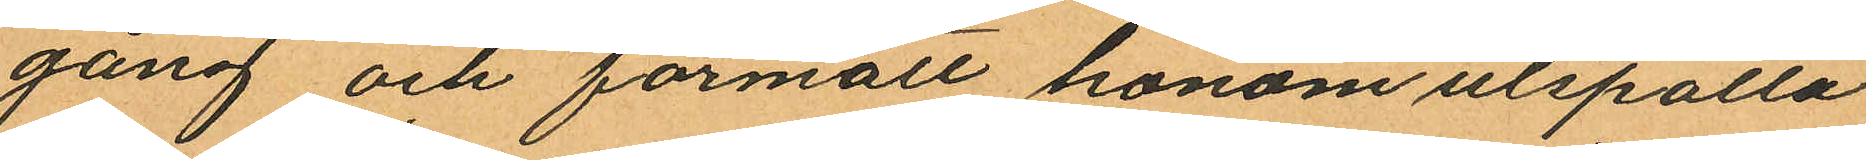gång och förmält honom utspotta
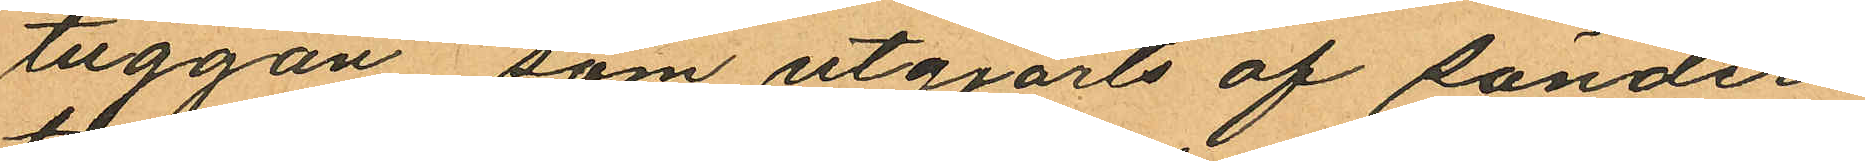tuggan som utgjorts af sönder
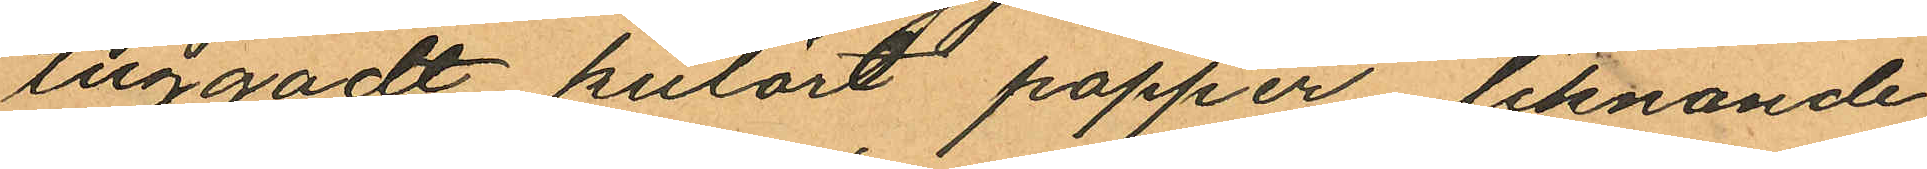tuggadt kutört papper liknande
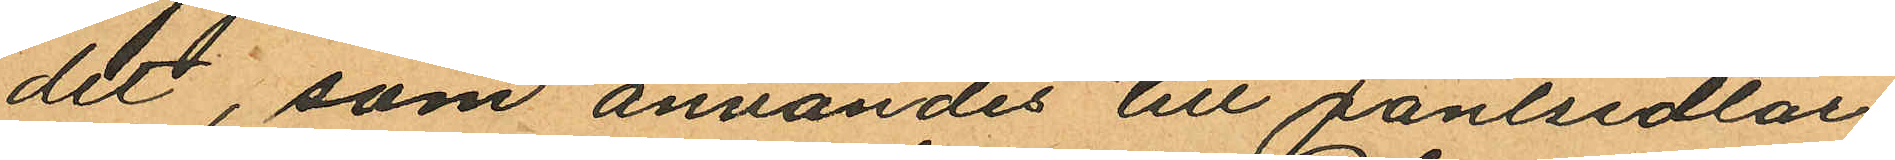det, som användes till pantsedlar
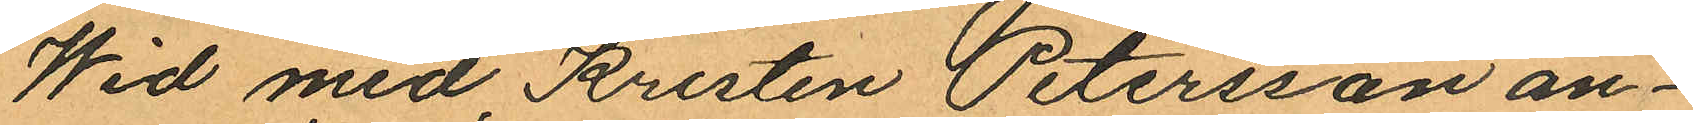Wid med Kristen Petersson an¬
